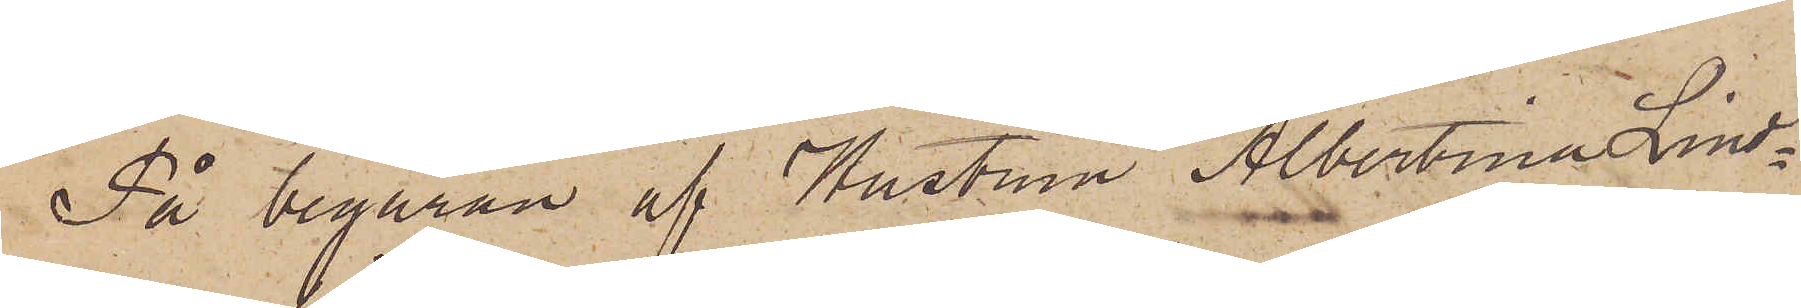På begäran af Hustrun Albertina Lind¬
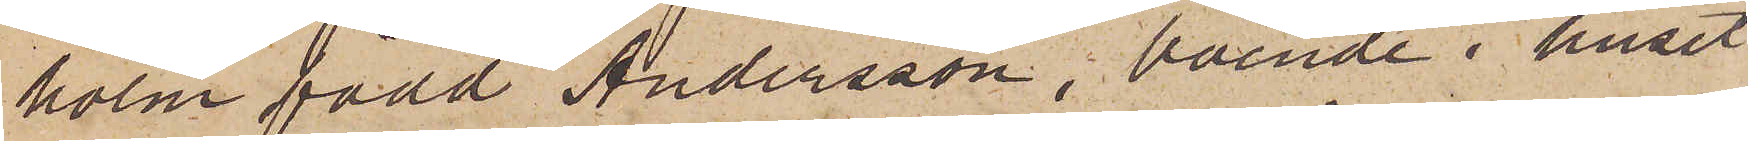holm född Andersson, boende i huset
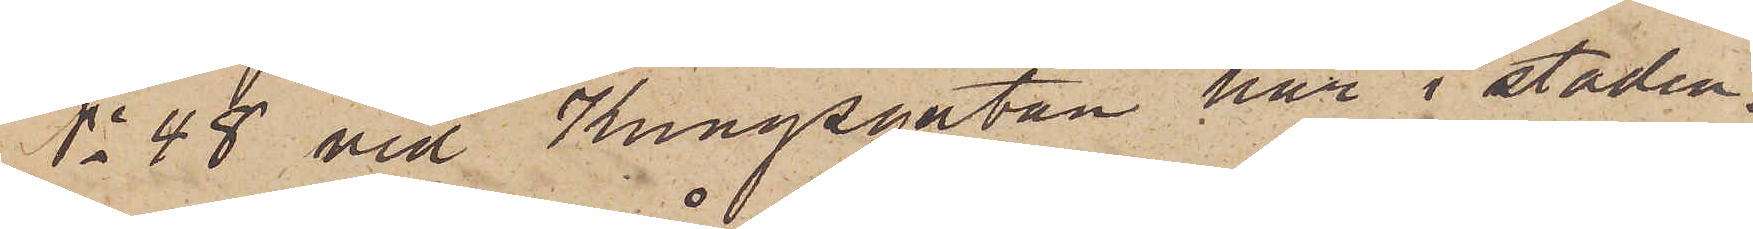No 48 vid Kungsgatan här i staden,
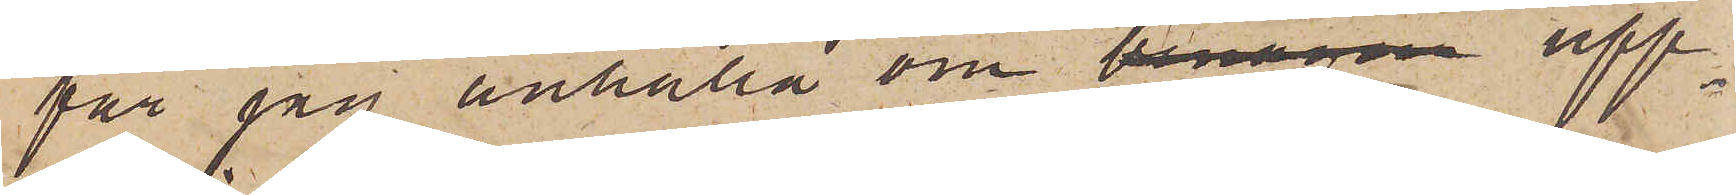får jag anhålla om benägen upp¬
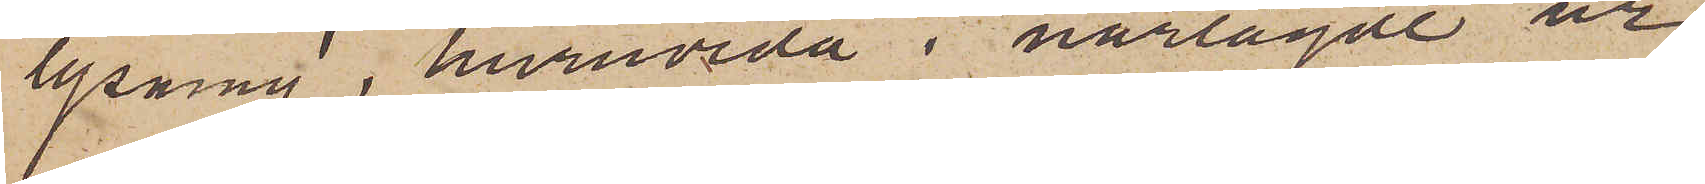lysning i huruvida i närlagde ur¬
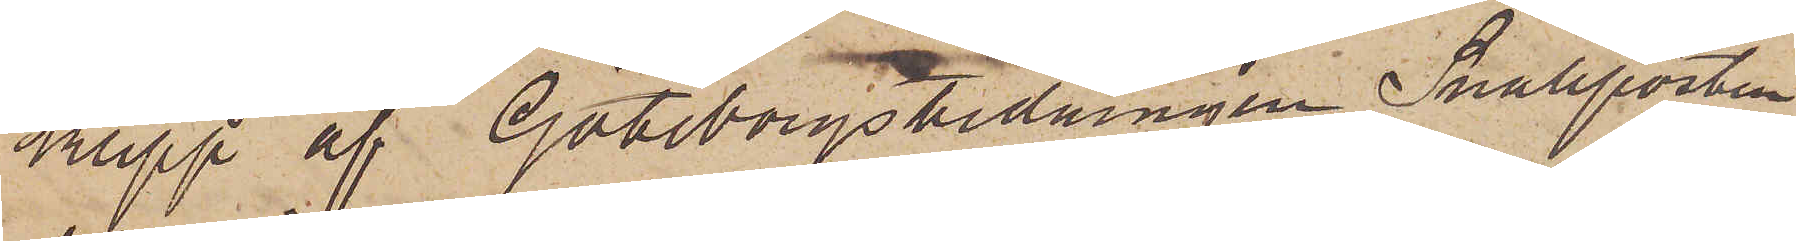klipp af Göteborgstidningen Snällposten
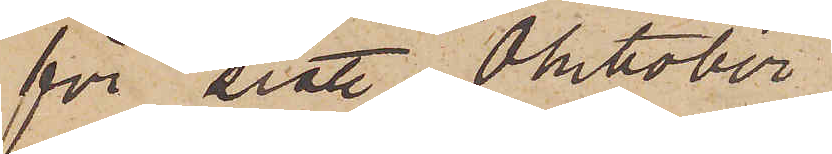för sist. Oktober
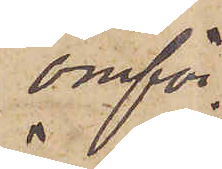omför¬
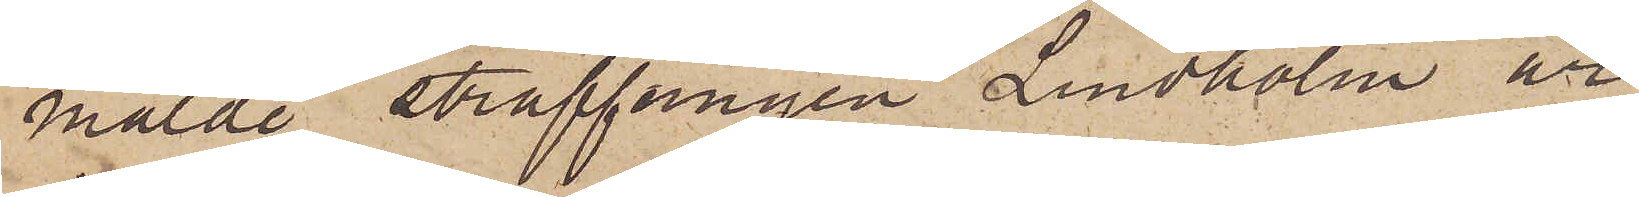mälde straffången Lindholm är
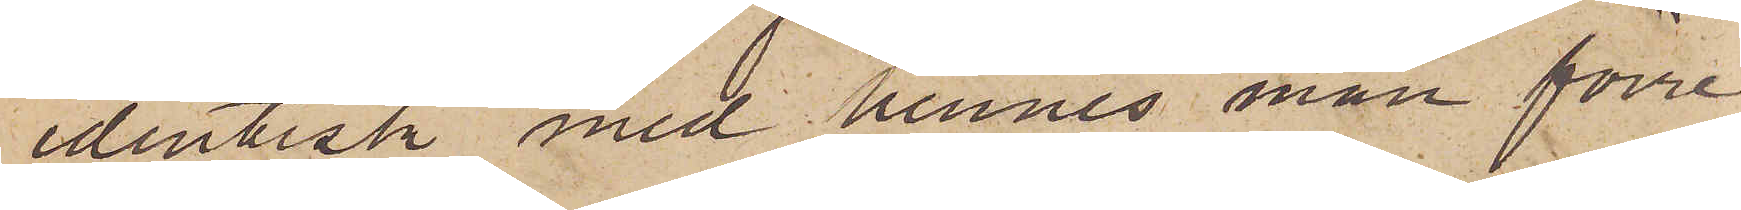identisk med hennes man förre
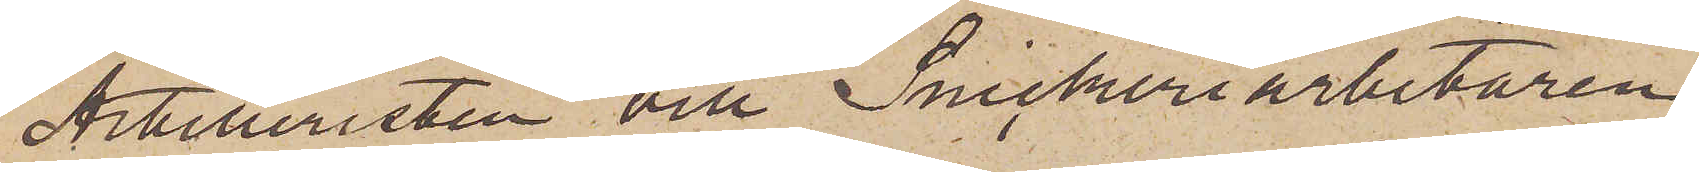Artilleristen och Snickeriarbetaren
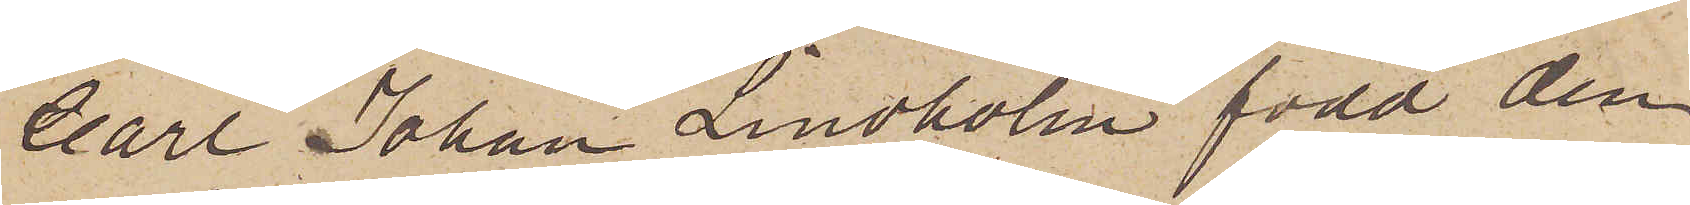Carl Johan Lindholm född den
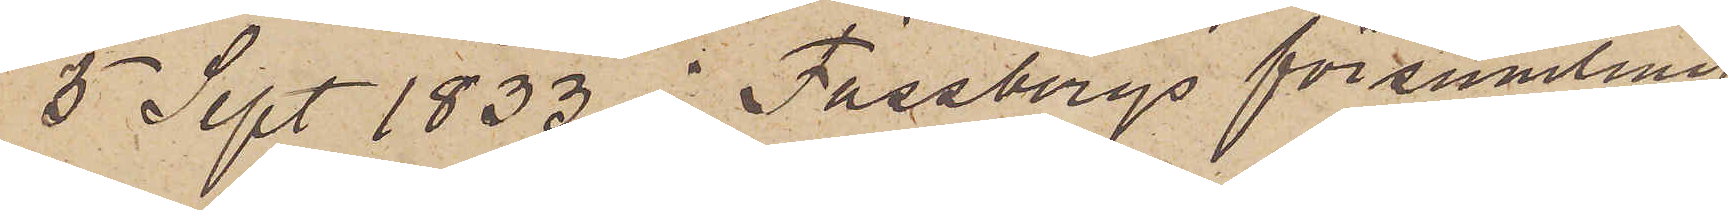5 Sept 1833 i Fässbergs församling
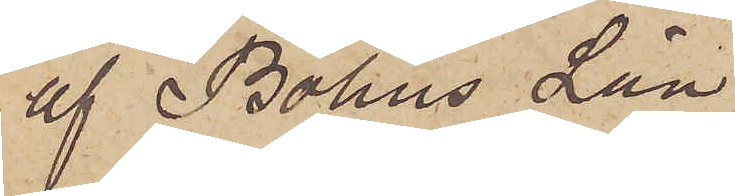af Bohus Län.
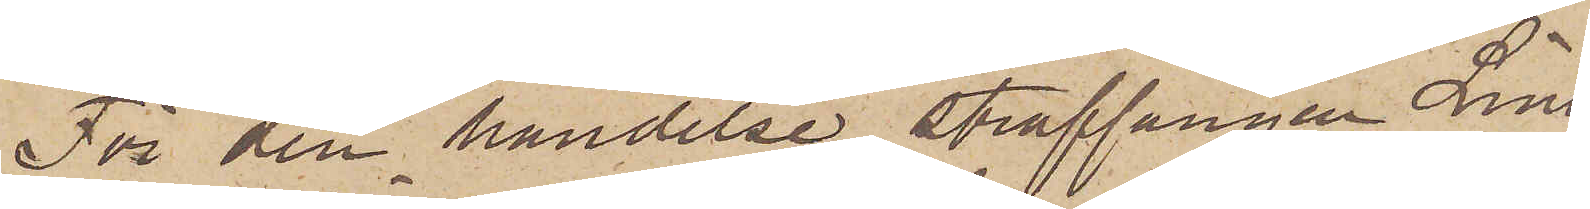För den händelse straffången Lind
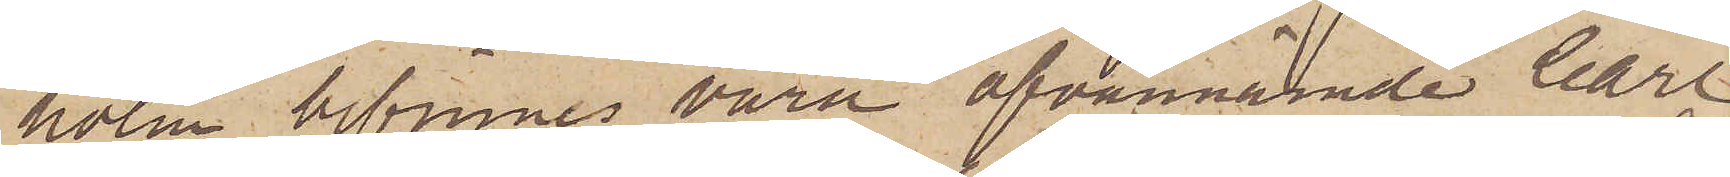holm bifinnes vara ofvannämnde Carl
